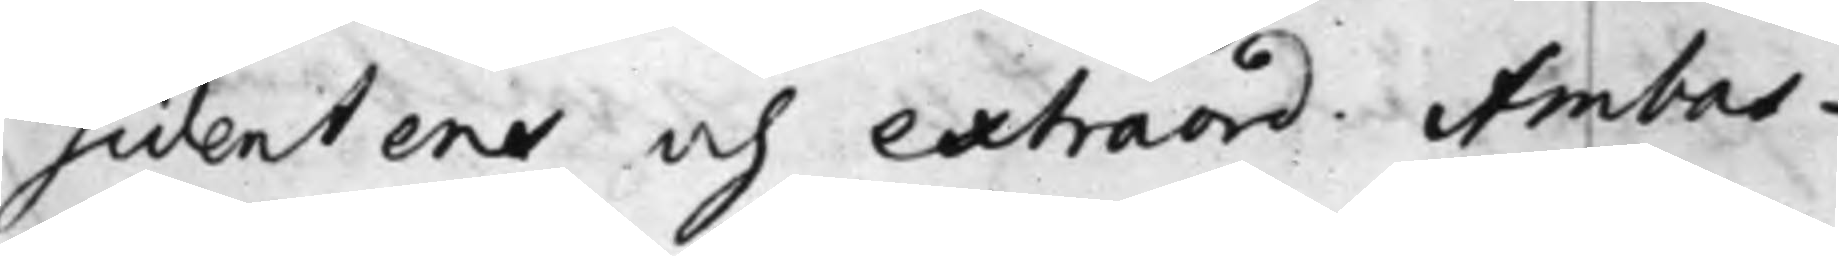sidentens och extraord. Ambas¬
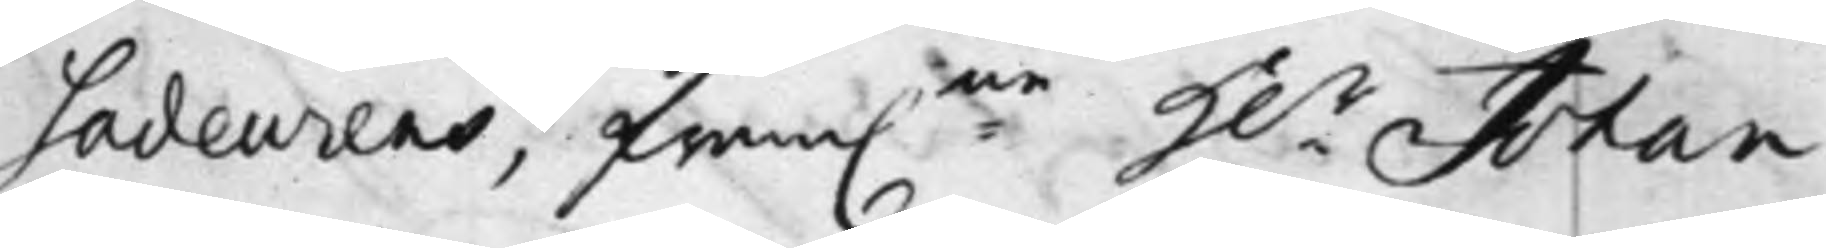sadeurens, fram:ne H.r Johan
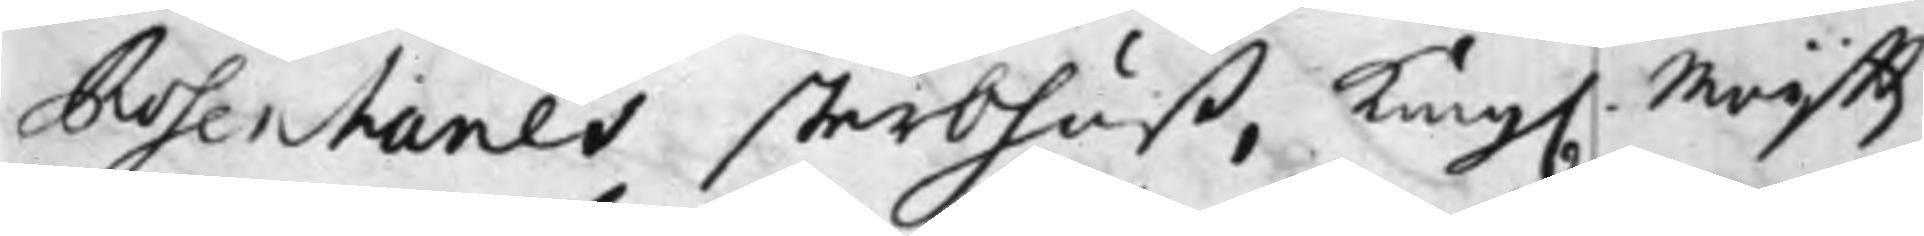Rosenhanes sterbhuß, Kong. Maijttz
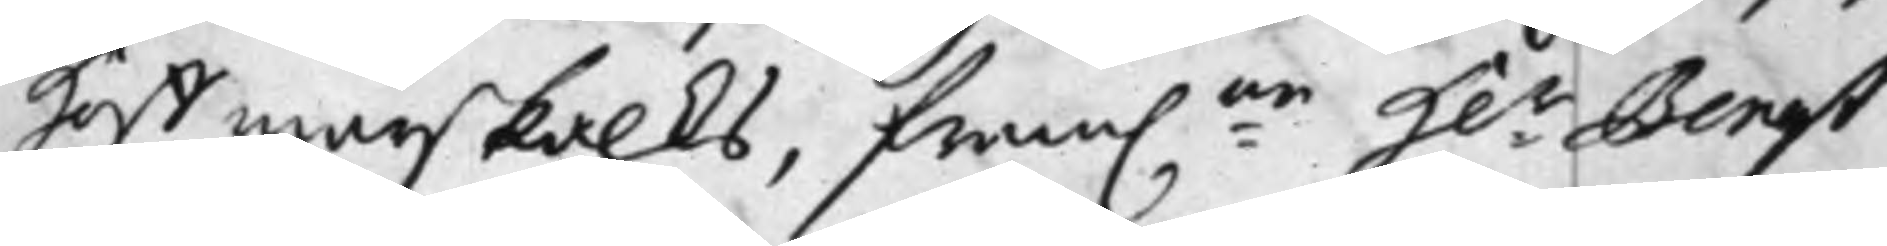Hoffmarskalks, fram:ne H:r Bengt
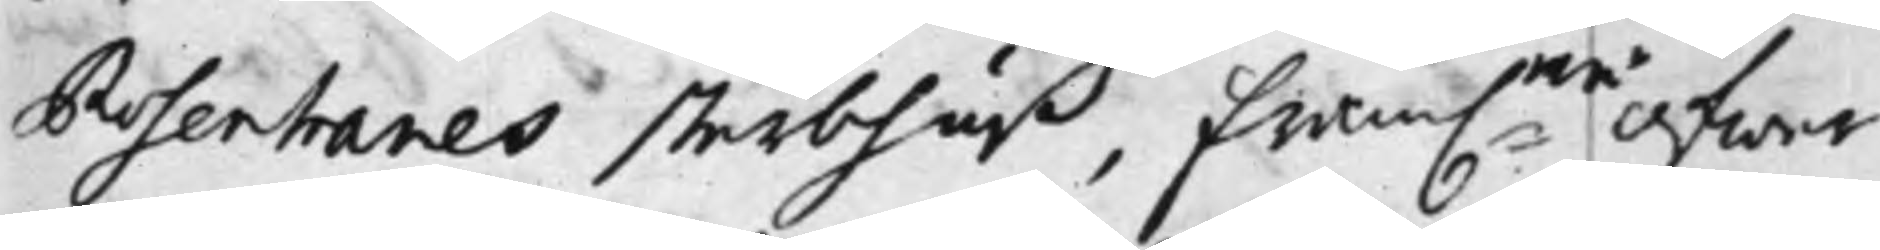Rosenhanes sterbhuß, fram:ne Öfwer¬
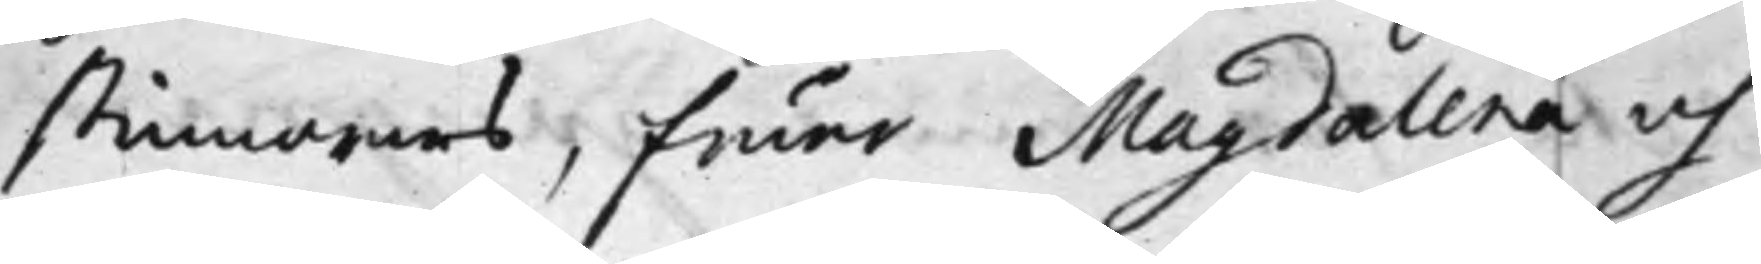stinnornas, Fruar Magdalena och
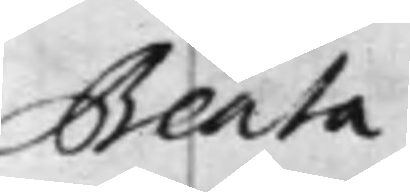Beata
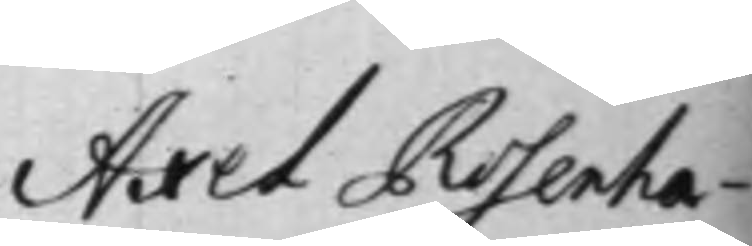Axel Rosenha¬
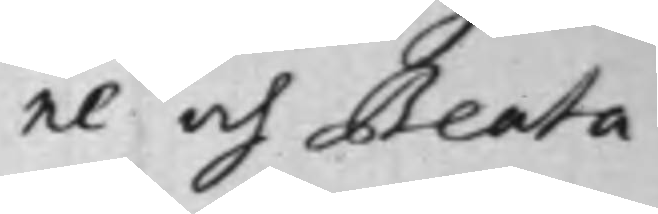ne och Beata
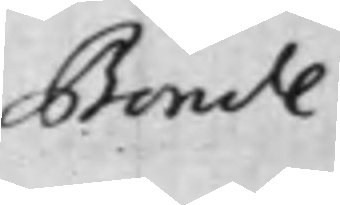Bonde
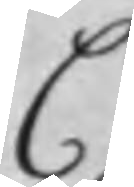C
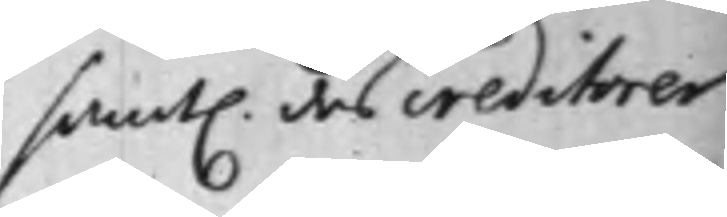samt. des creditorer
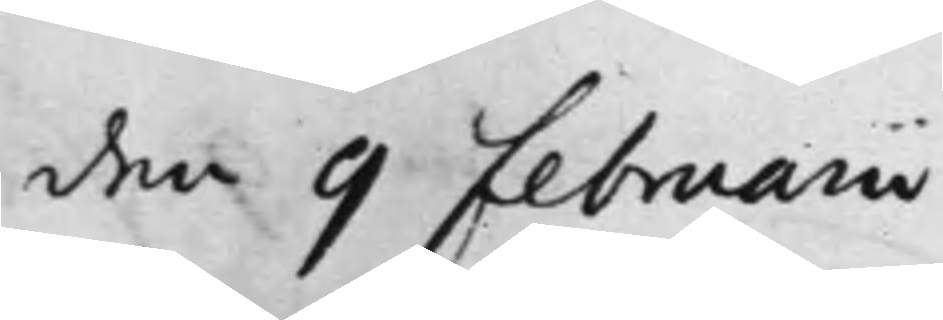den 9 Februarii
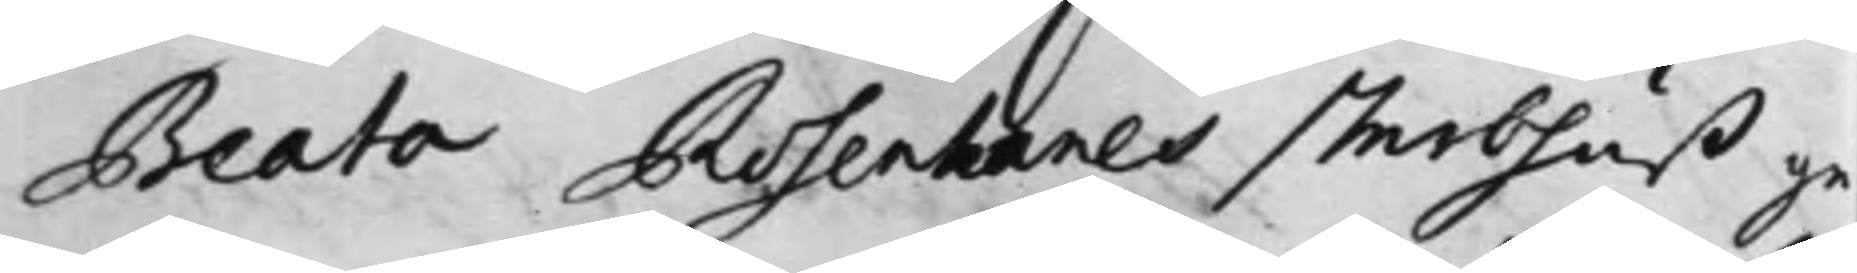Beata Rosenhanes sterbhuß ge¬
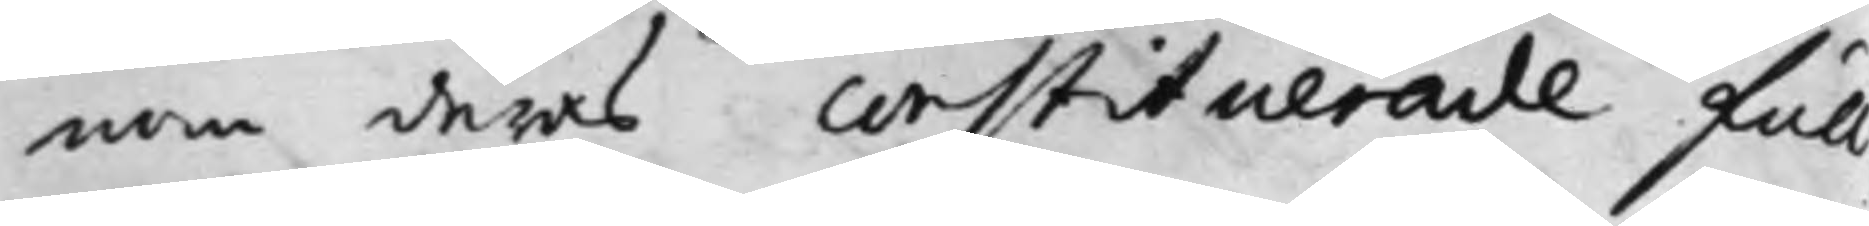nom deras constituerade full¬
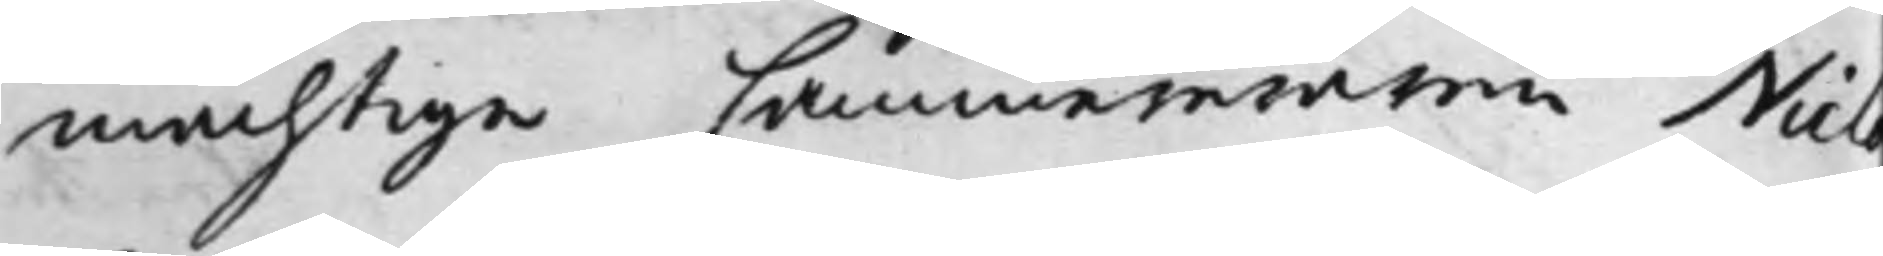mächtige Cammereraren Niels
